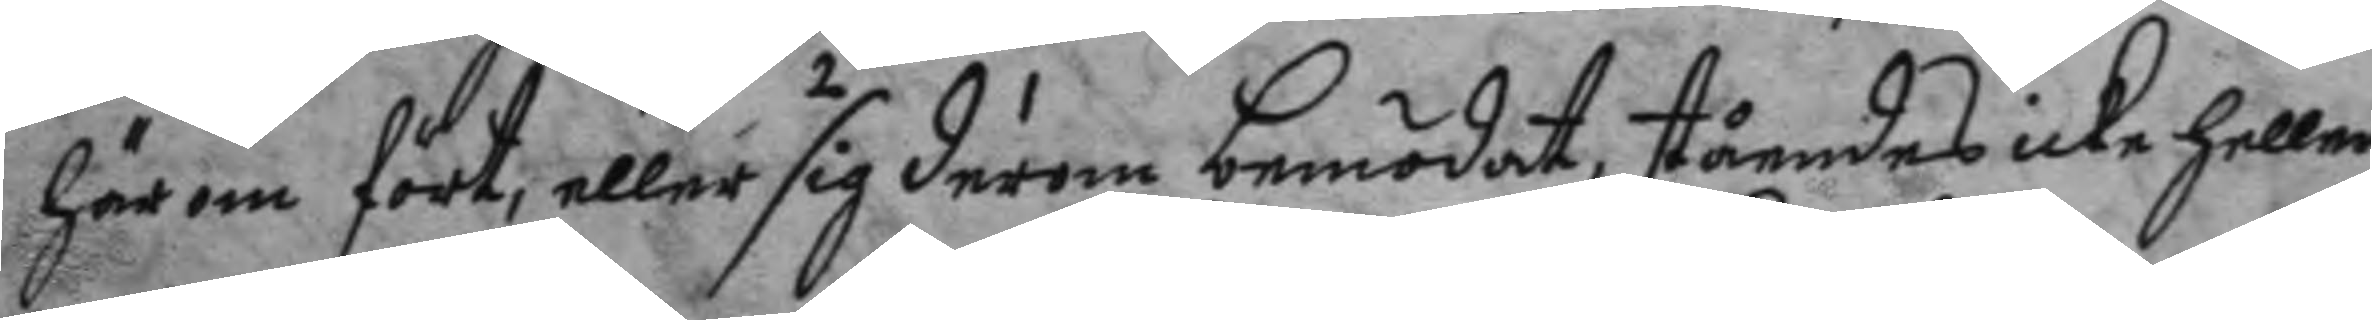härom fört, eller sig derom bemödat, ståendes icke heller
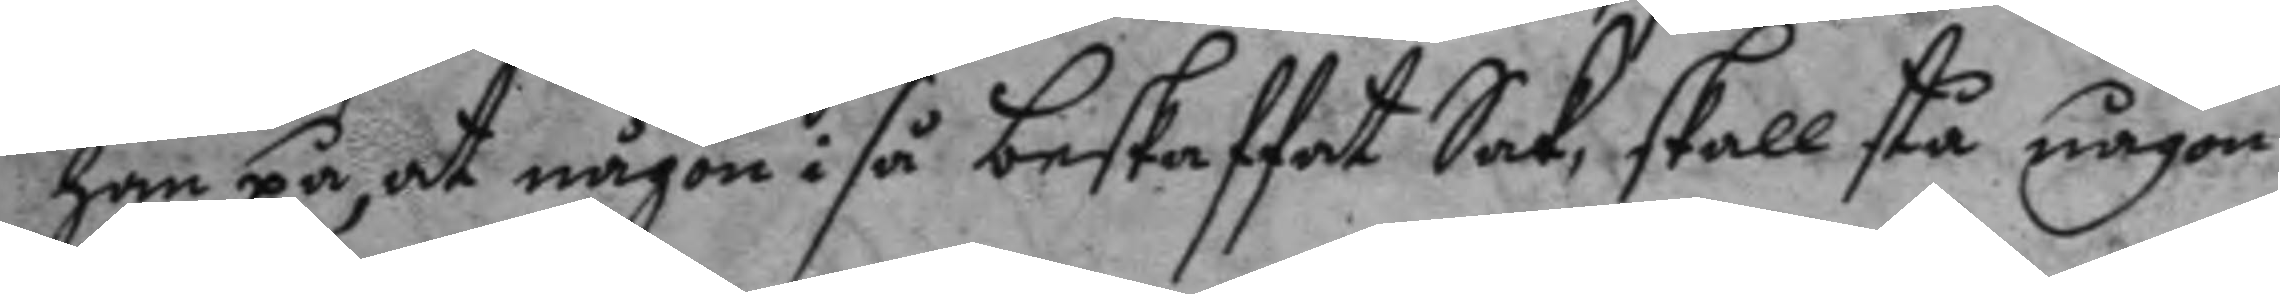han på, at någon i så beskaffat Sak, skall stå någon
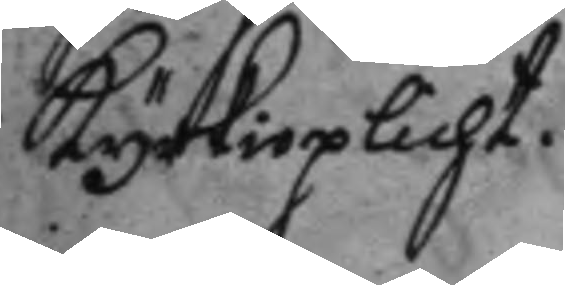kyrkioplicht.
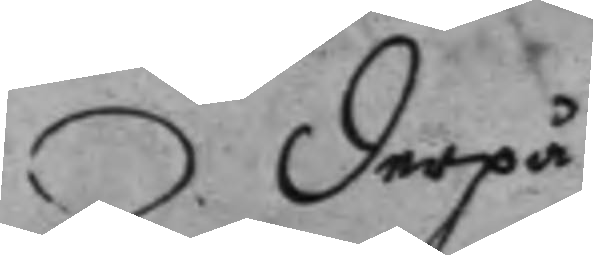Derpå
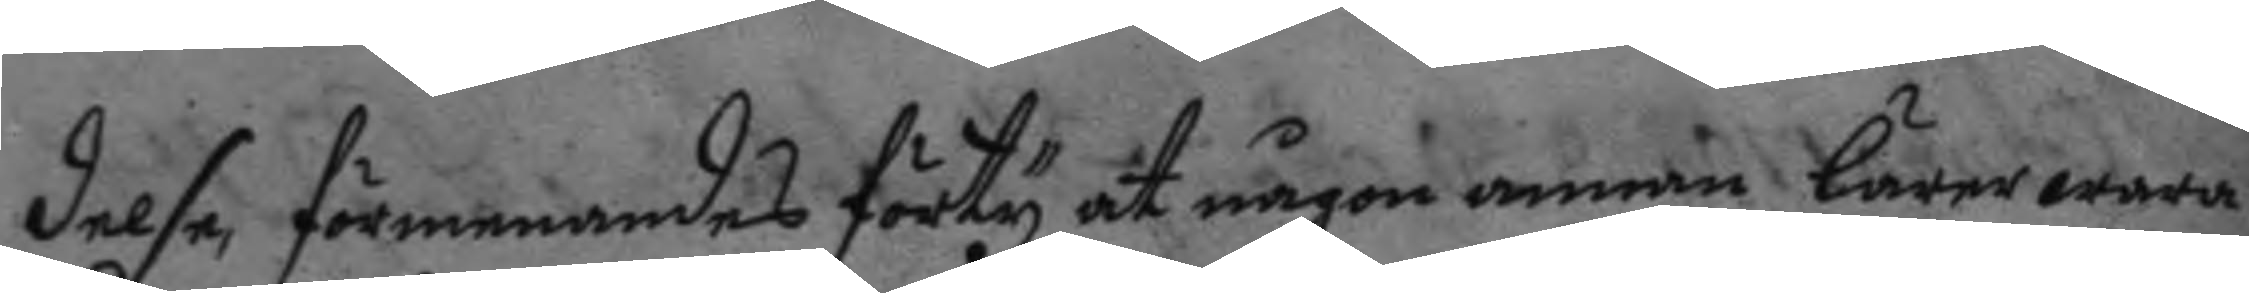delse, förmenandes förty, at någon annan lärer wara
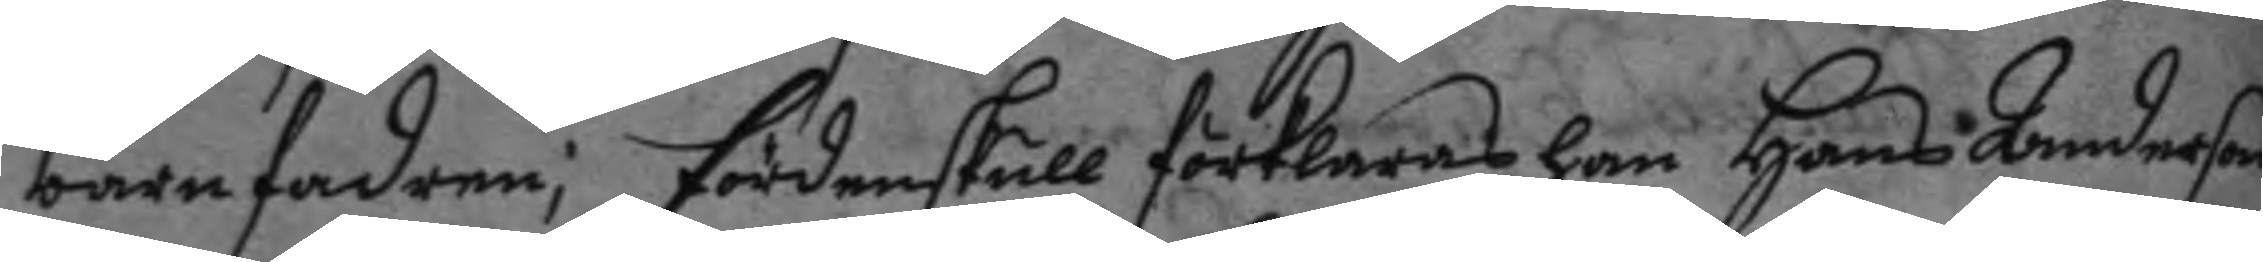barnafadren; fördenskull förklaras han Hans Anderson
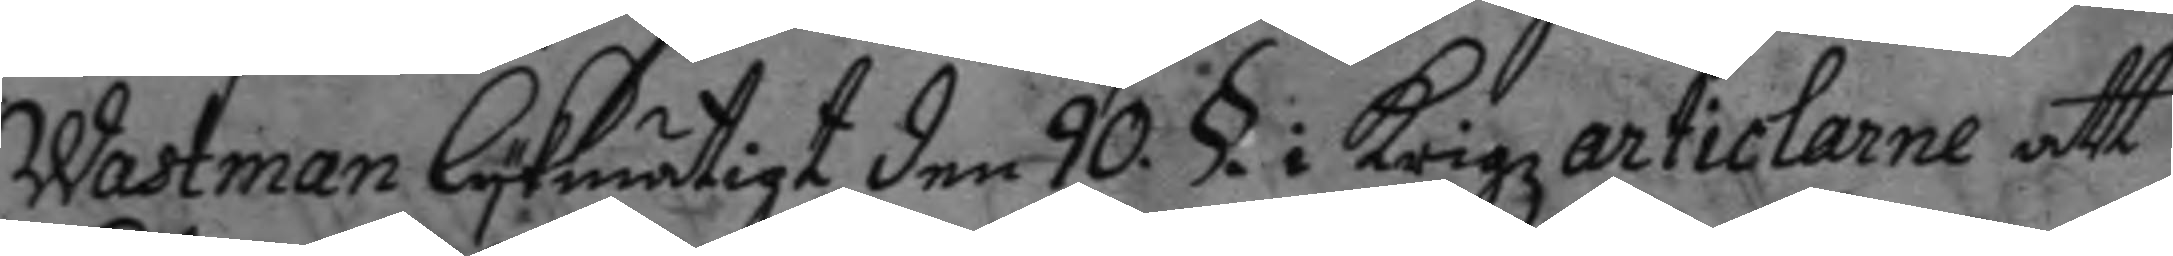Wastman lykmätigt den 90. § i Krigzarticlarne att
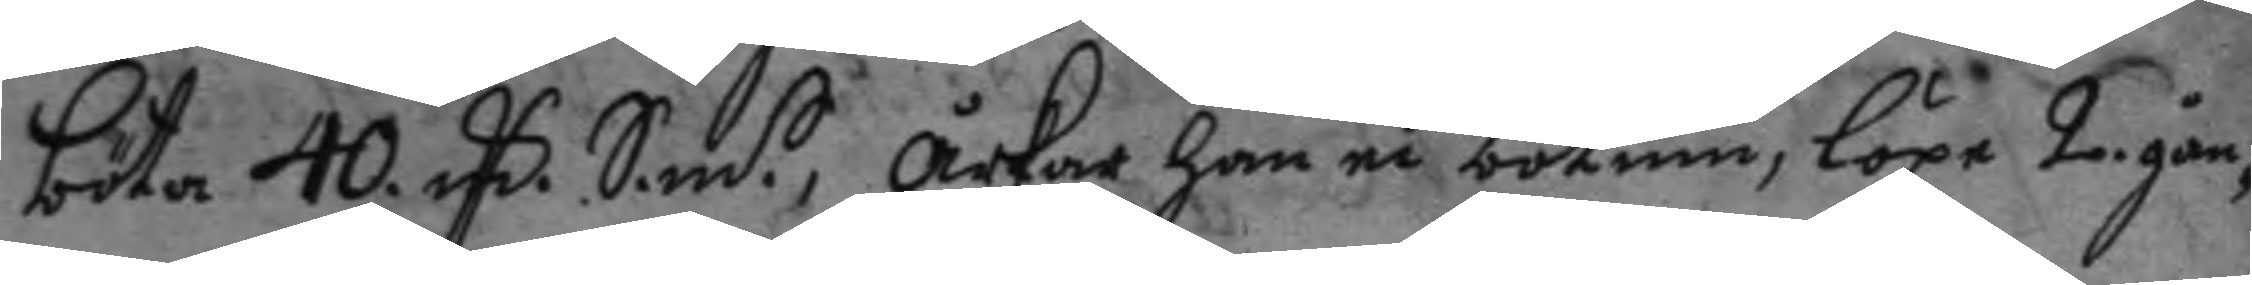böta 40. mC. S.m.t, årkar han ei botum, löpa 2 gån¬
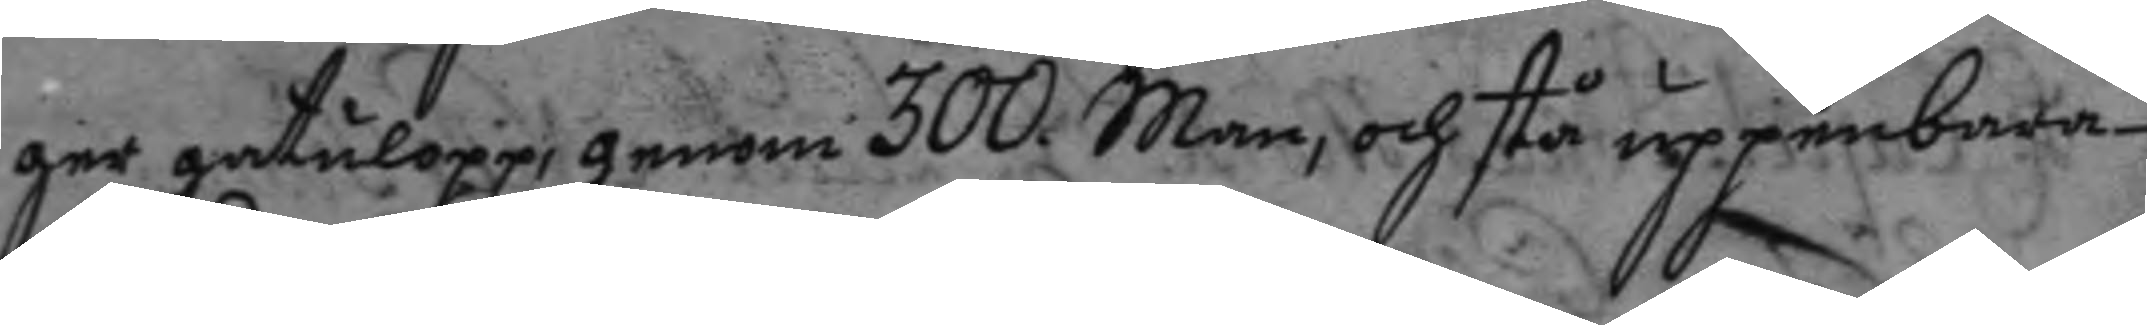ger gatlopp, genom 300 Man, och stå uppenbara
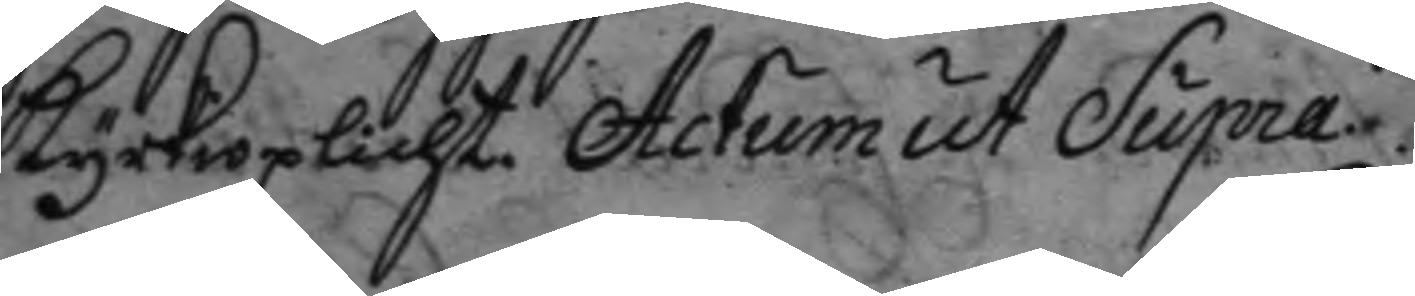kyrkioplicht. Actum ut Supra.
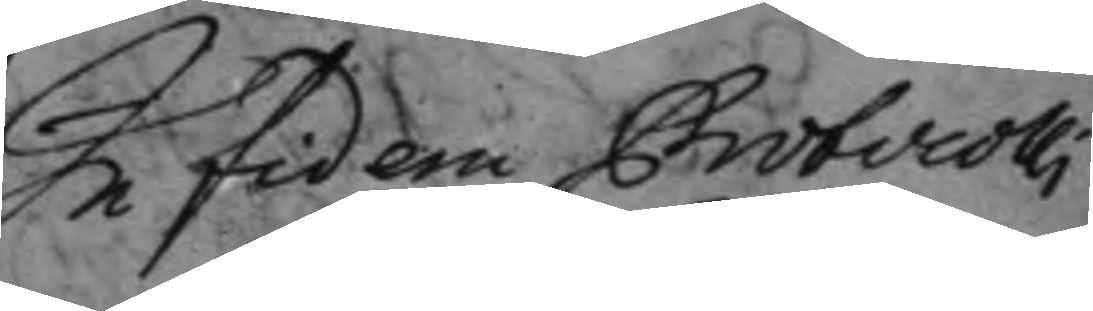In fidem Protocolli
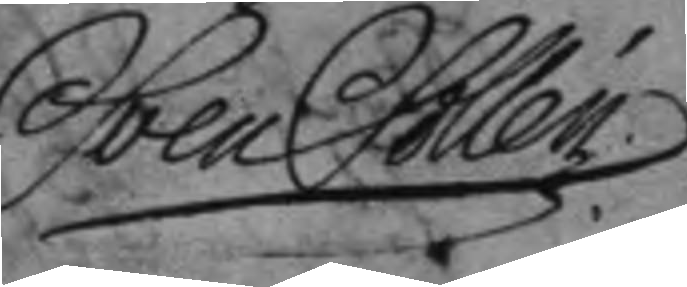Sven Sollén
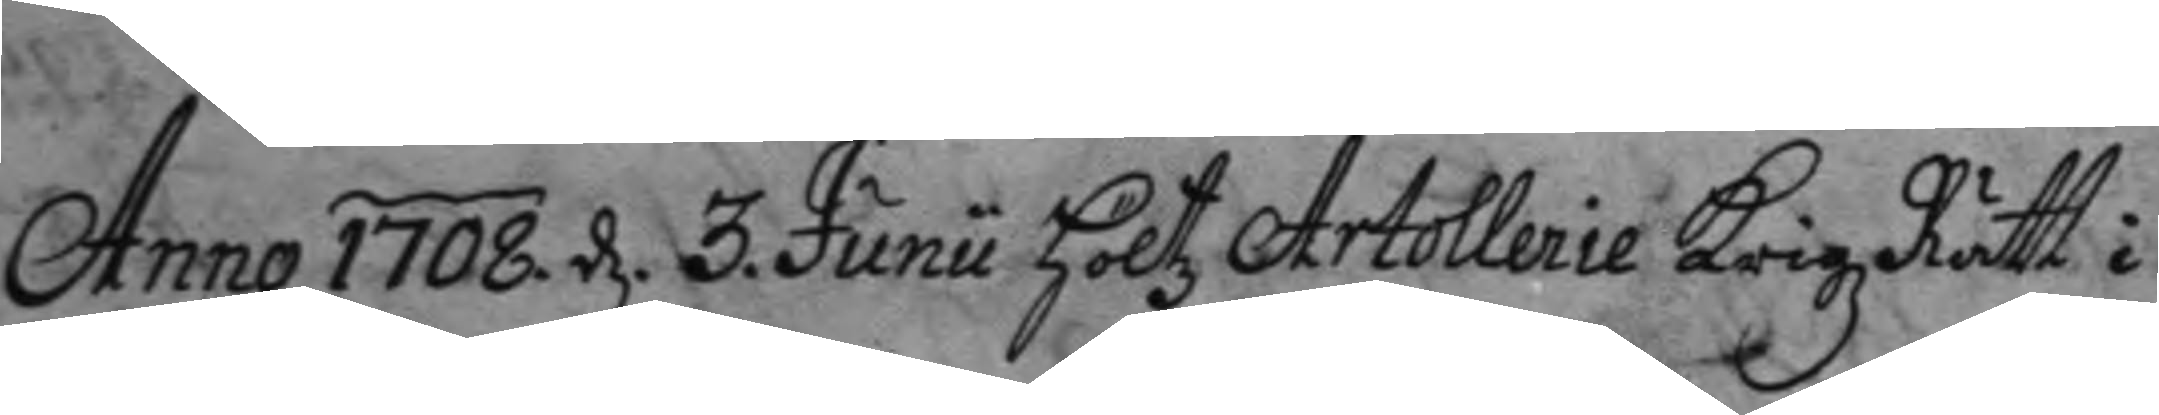Anno 1708. d. 3. Junii höltz Artollerie Krigz Rätt i 
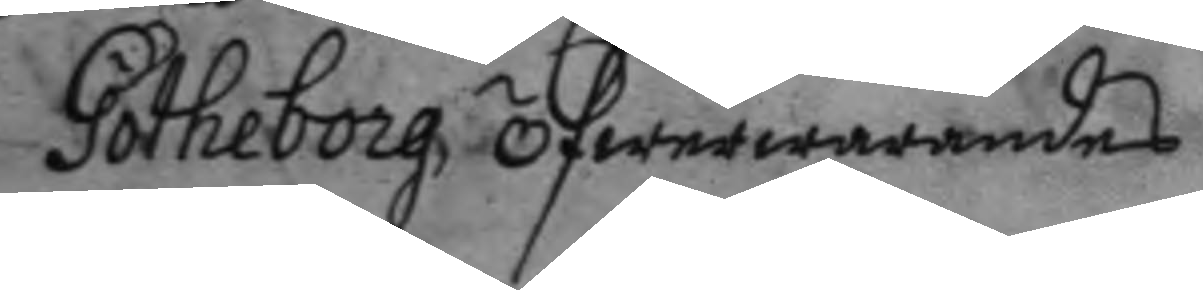Götheborg öfwerwarandes
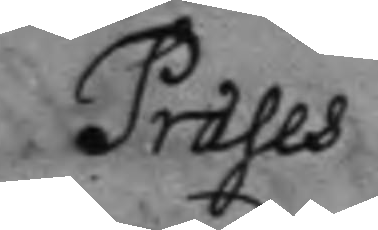Præses
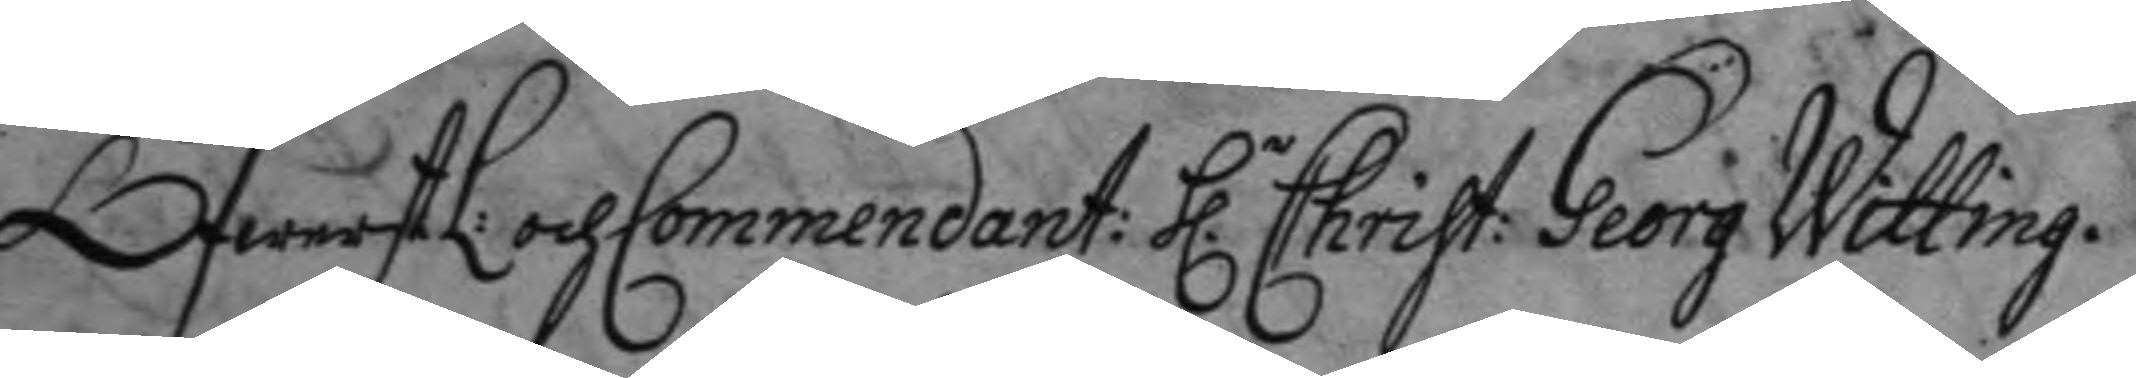ÖfwerstL: och Commendant: h.r Christ: Georg Witting.
